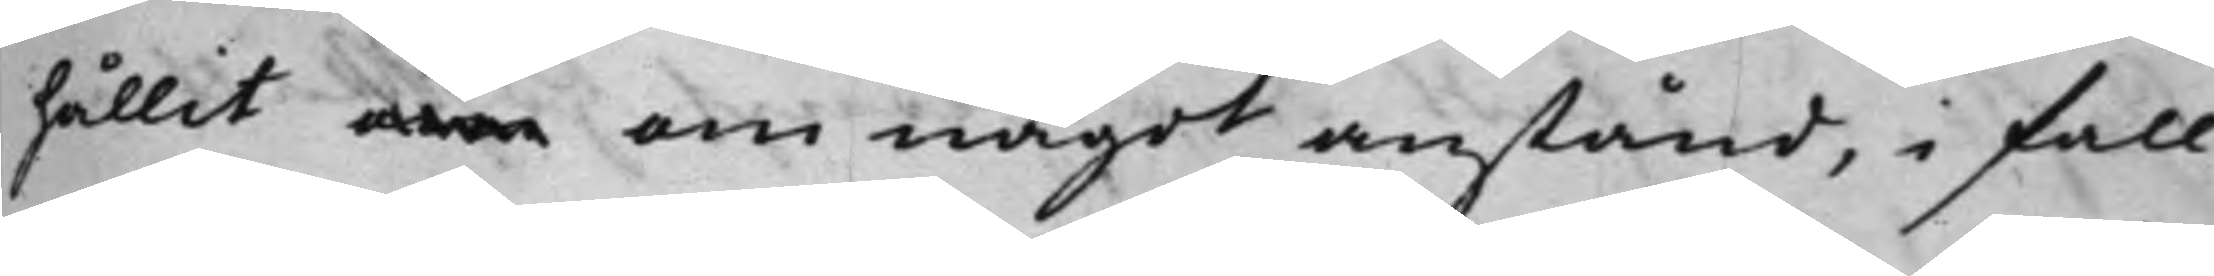hållit om om något anstånd, i fall
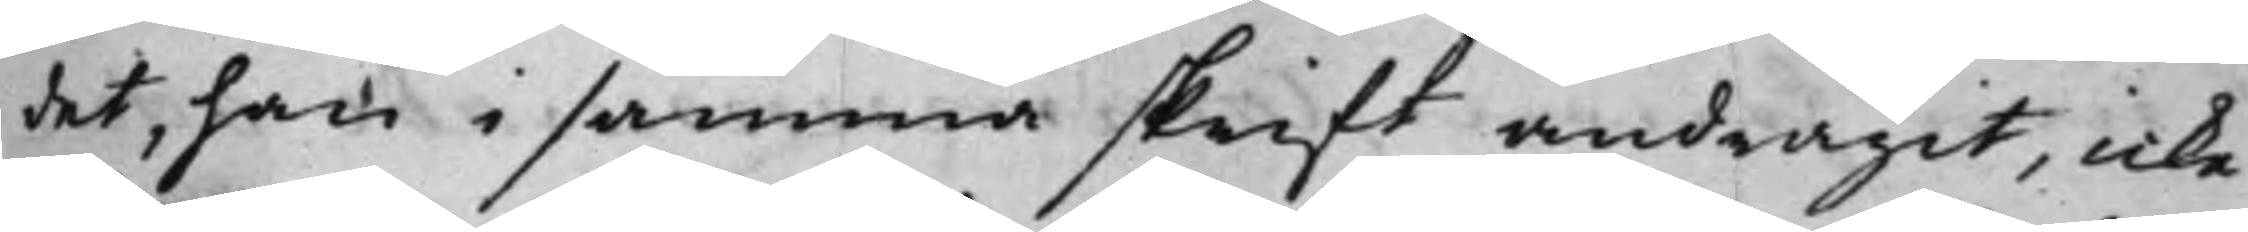det, han i samma skrift andragit, icke
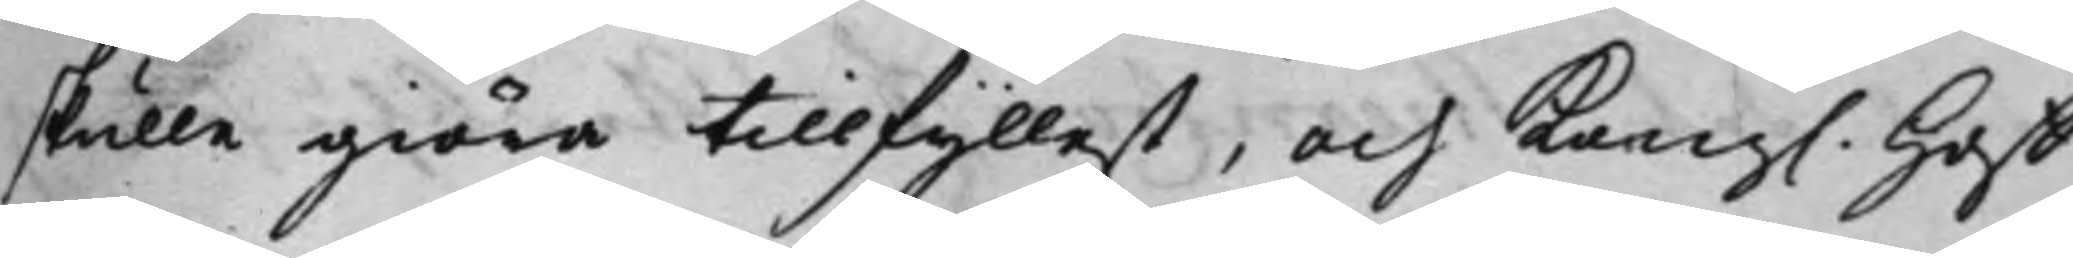skulle giöra tillfyllest, och Kong. Hoff¬
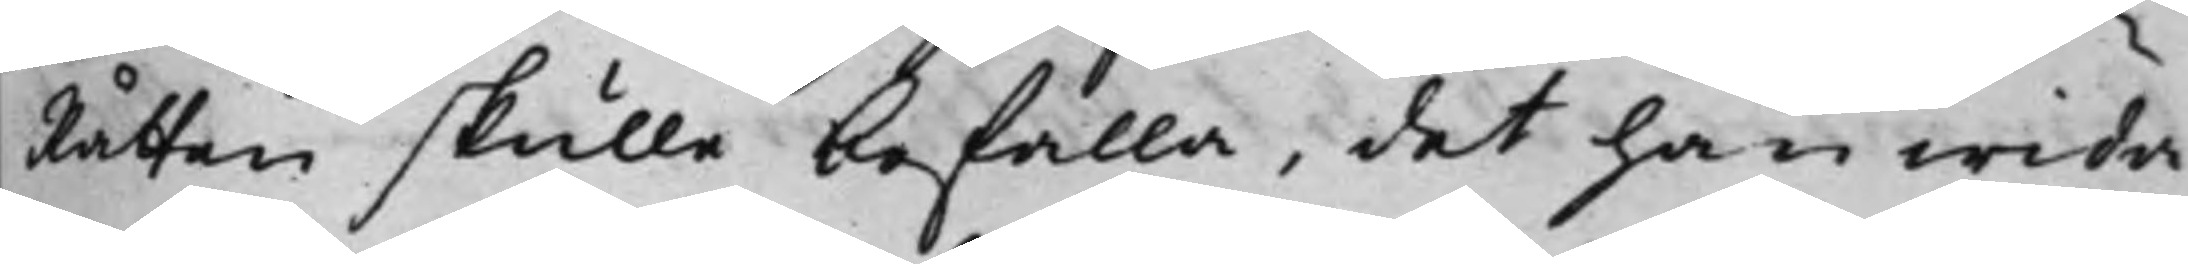Rätten skulle befalla, det han wida¬
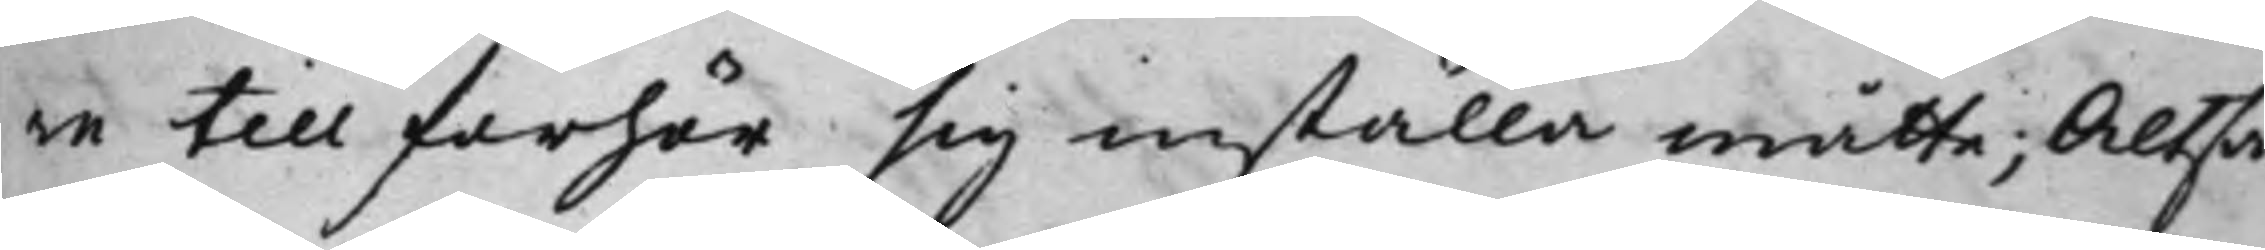re till förhör sig inställa måtte; Altså
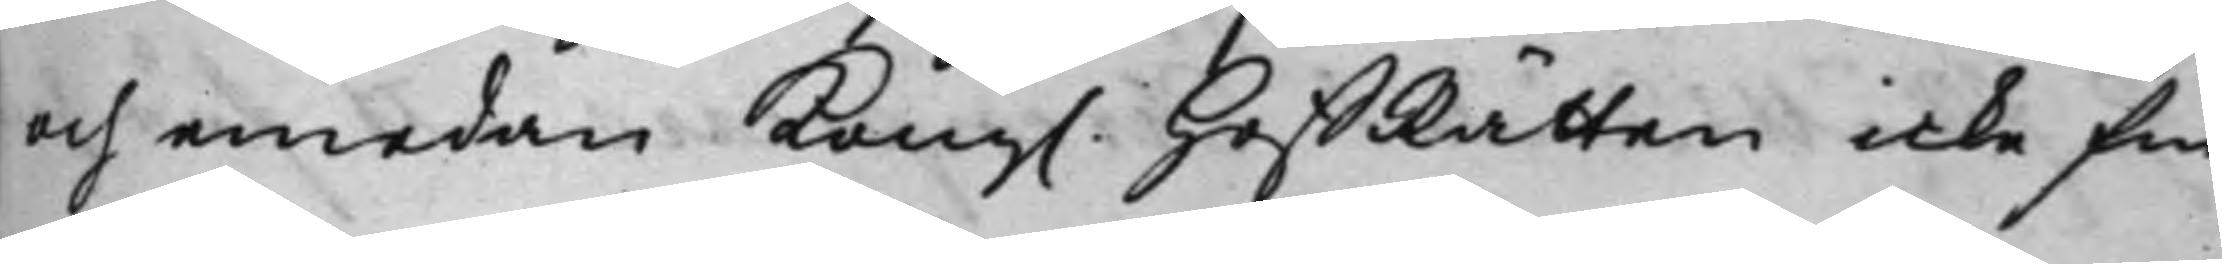och emedan Kong. HoffRätten icke fin¬
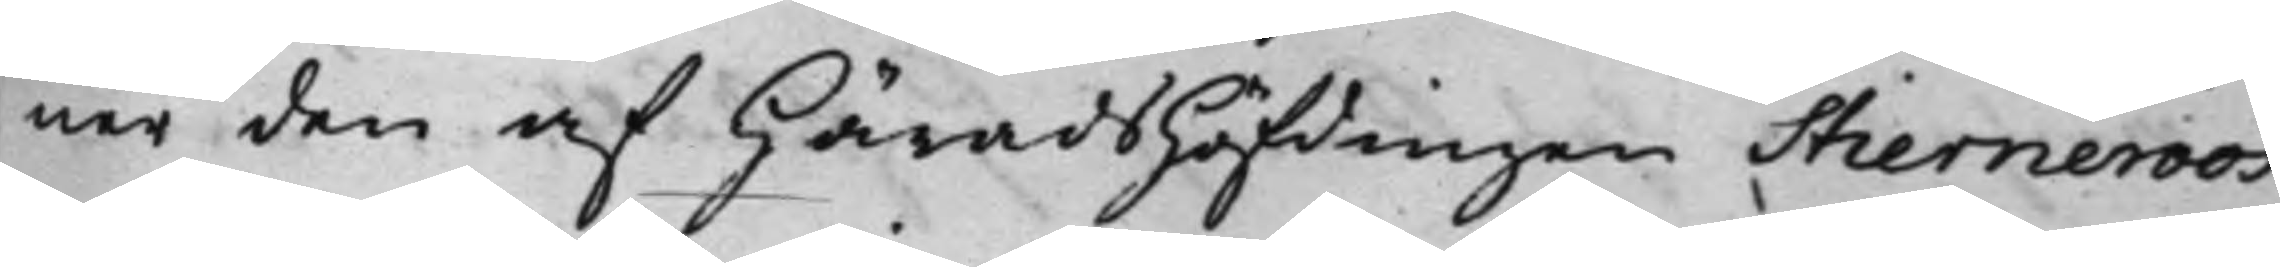ner den af Häradshöfdingen Stierneroos
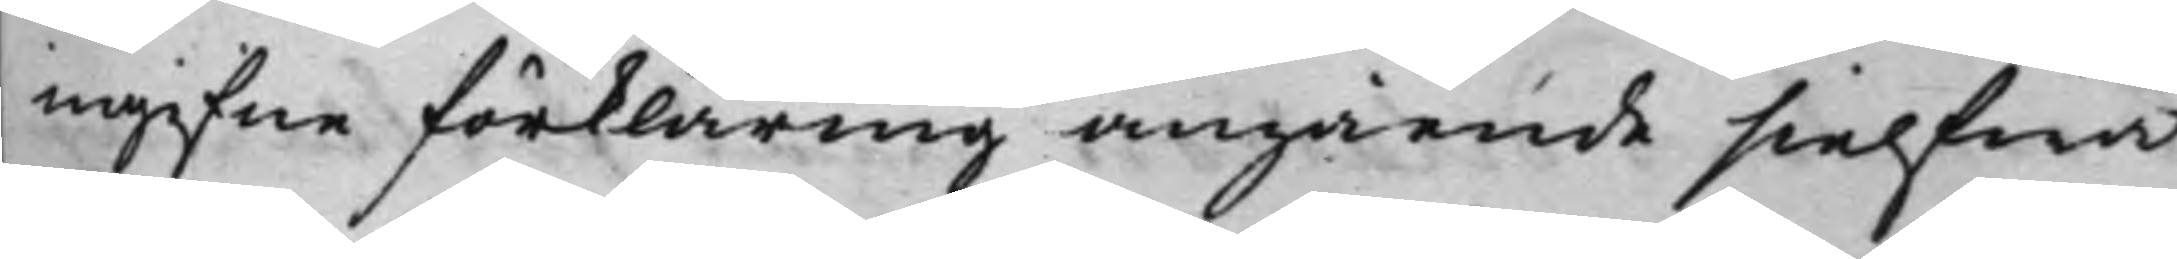ingifne förklaring angående sielfwa
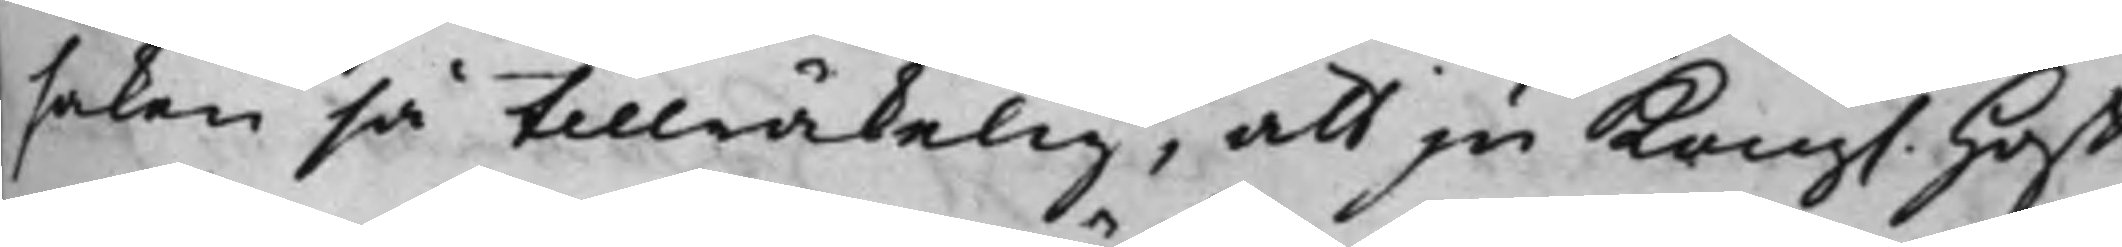saken så tillräkelig, att ju Kong. Hoff¬
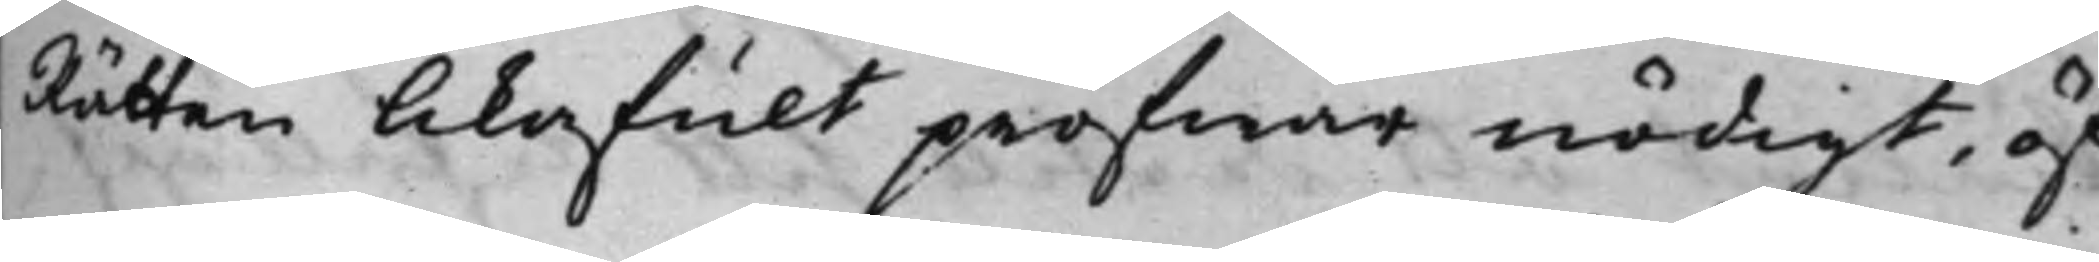Rätten likafullt pröfwar nödigt, öf¬
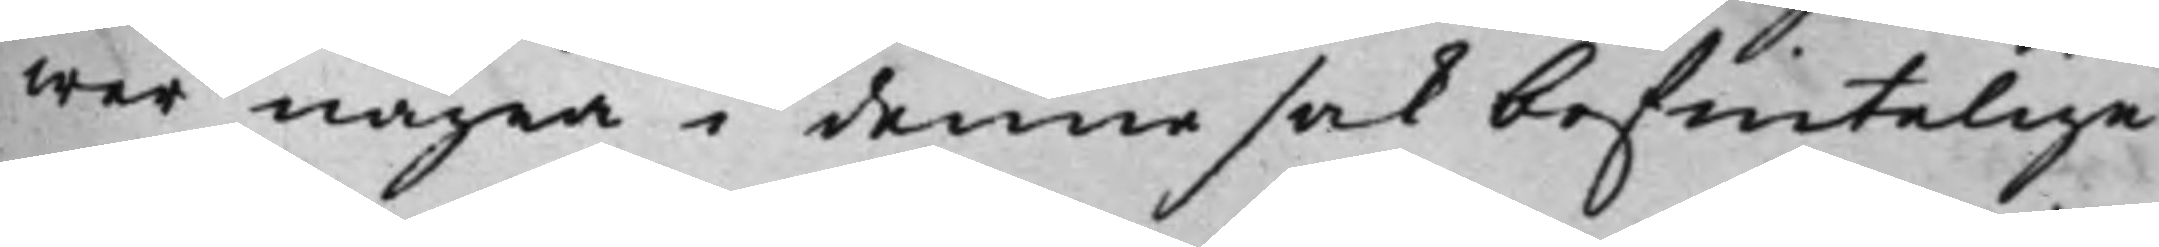wer några i denna sak befintelige
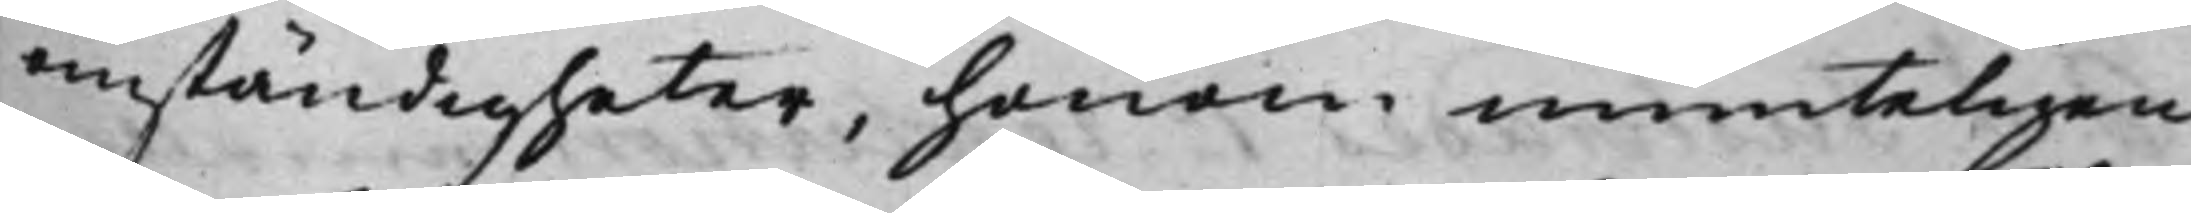omständigheter, honom munteligen
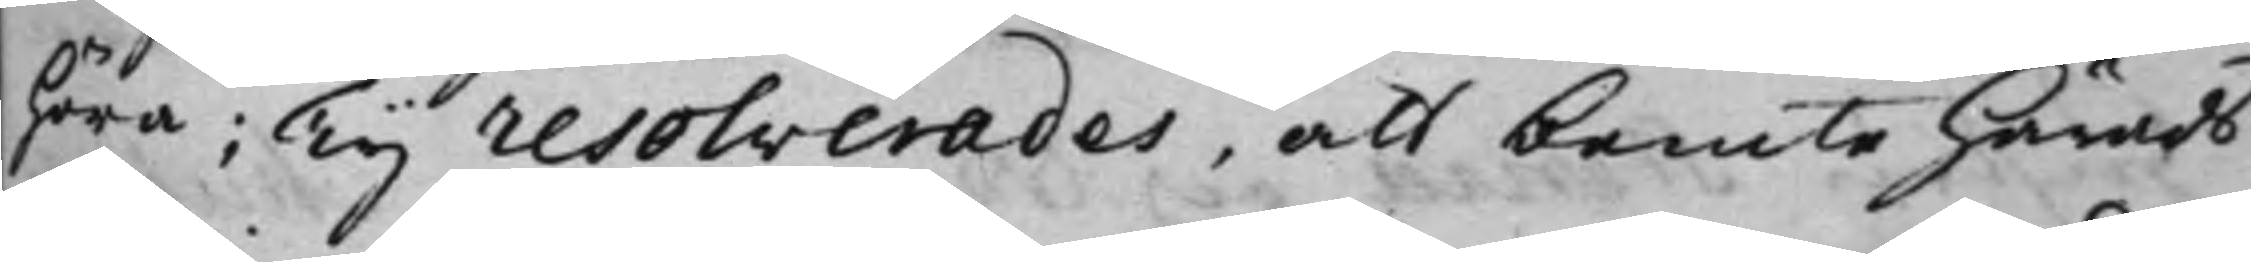höra; Ty resolverades, att bemte Härads¬
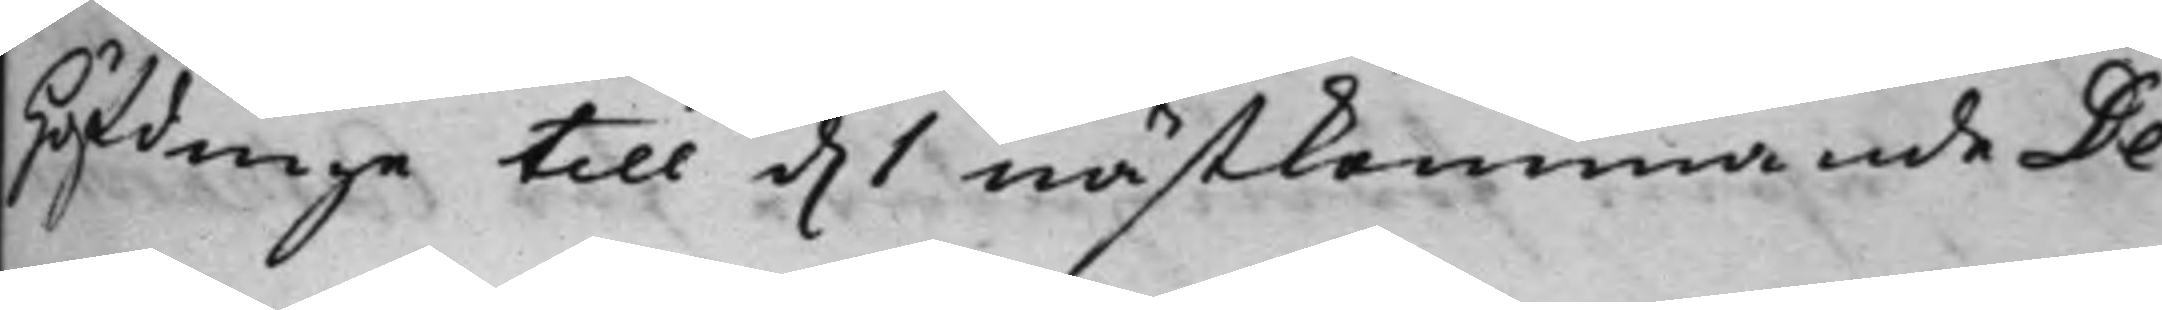höfdinge till d. 1 nästkommande De¬
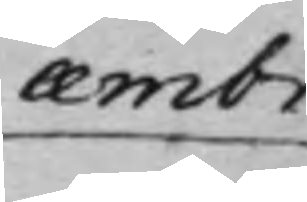cæmbr
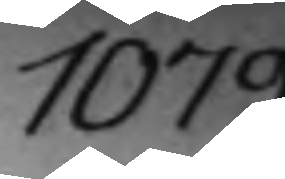1079.
